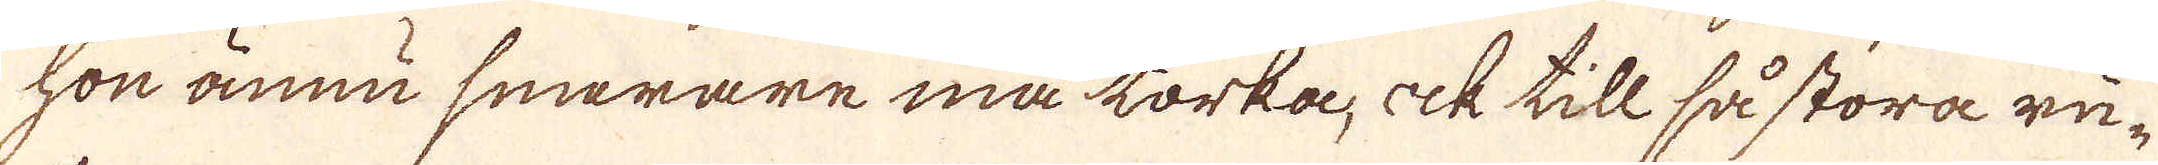hon ännu snarare må torka, ock till så stora ru-
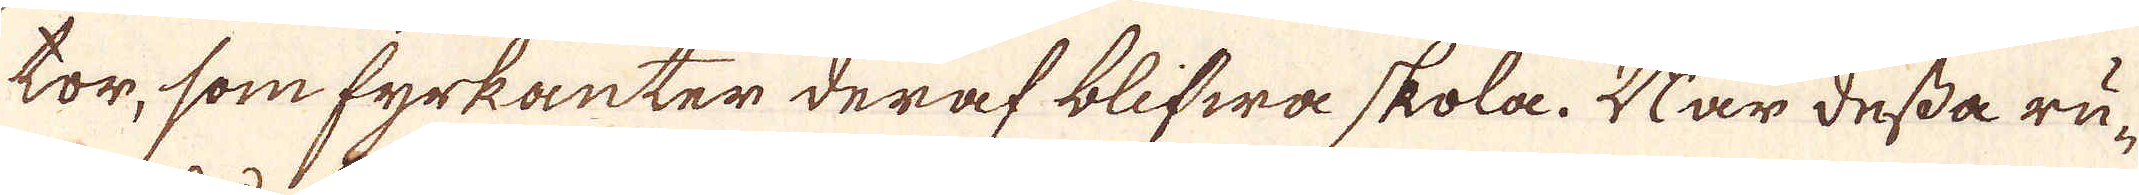tor, som fyrkanter deraf blifwa skola. När dessa ru-
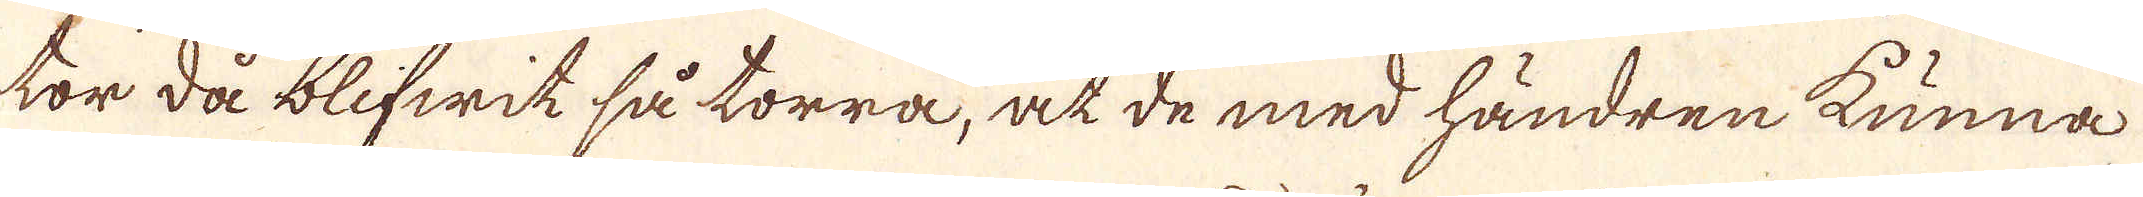tor då blifwit så torra, at de med händren kunna
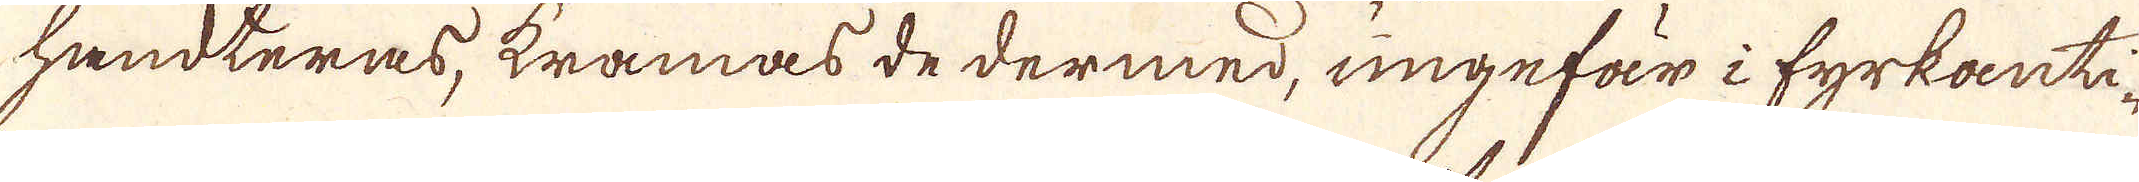handteras, kramas de dermed, ungefär i fyrkanti-
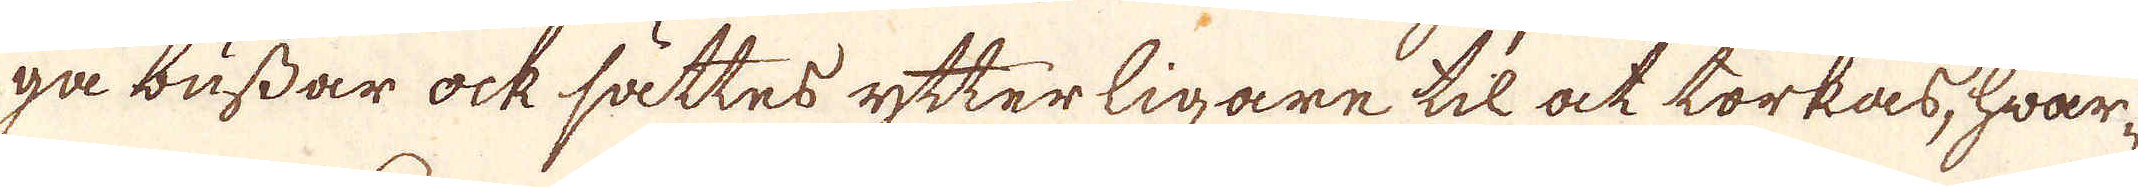ga bussar ock sättes ytterligare til at torkas, hwar-
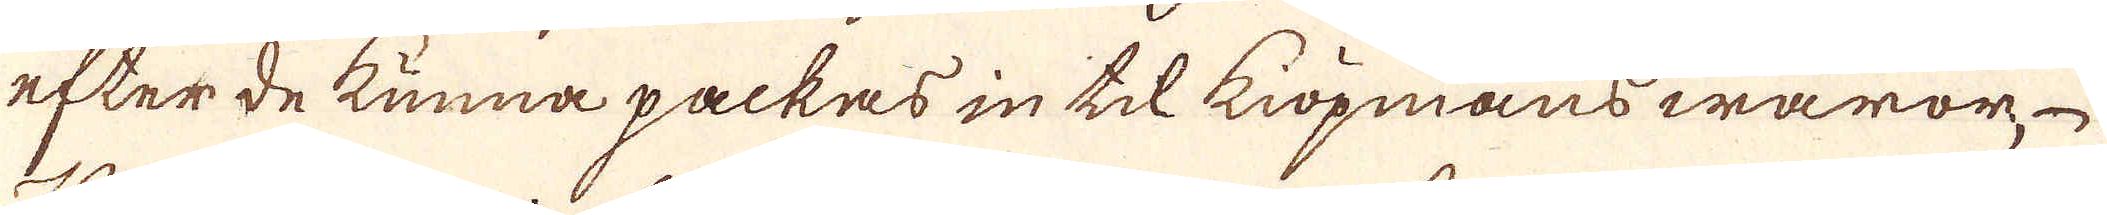efter de kunna packas in til kipmans waror,
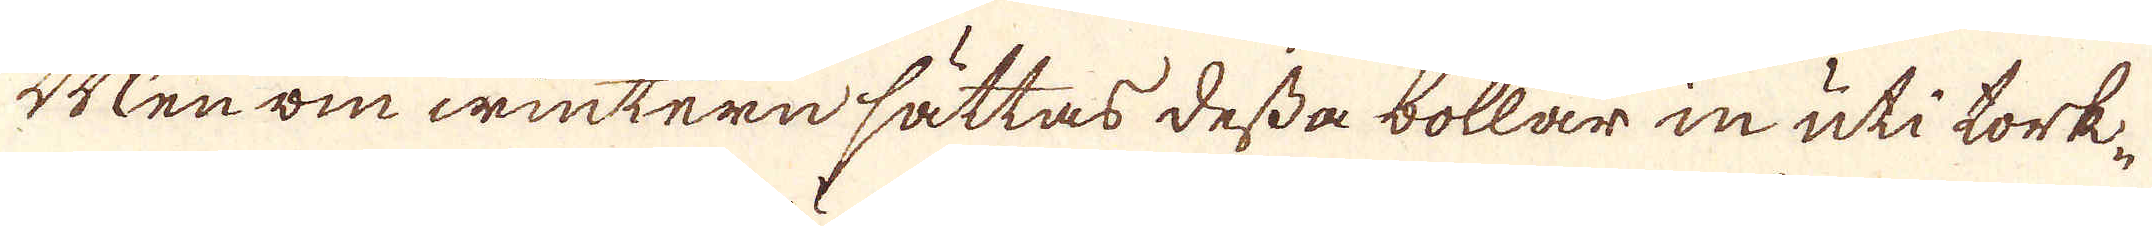Men om winternsättas dessa bollar in uti tork-
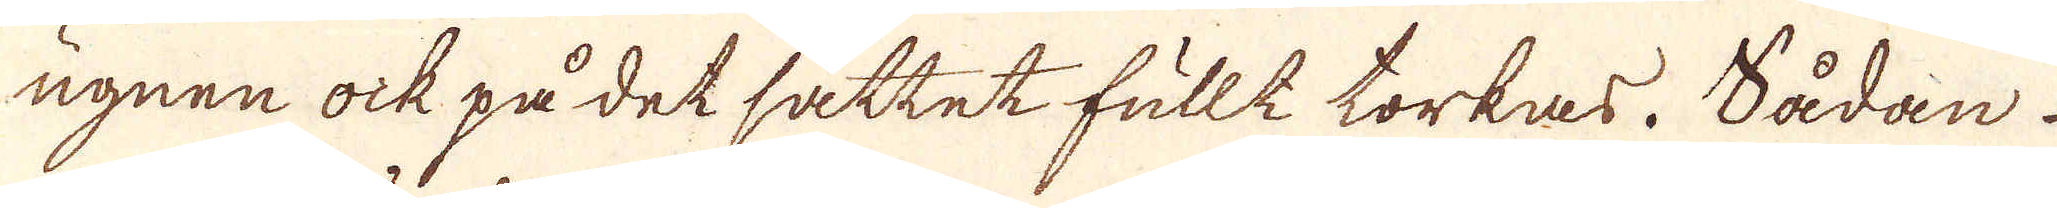ugnen ock på det sättet fullk torkas. Sådan
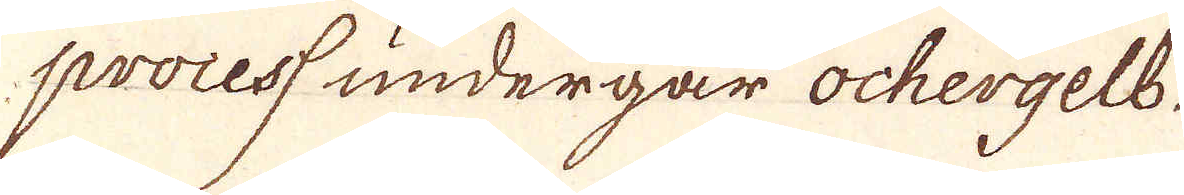process undergår ochergelb.
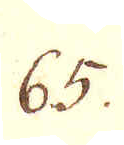65.
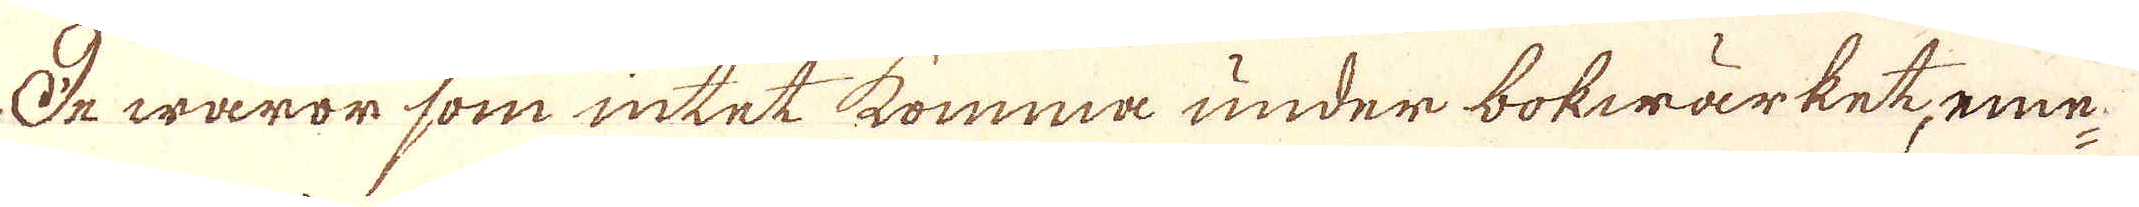De waror som intet komma under bokwärket, eme-
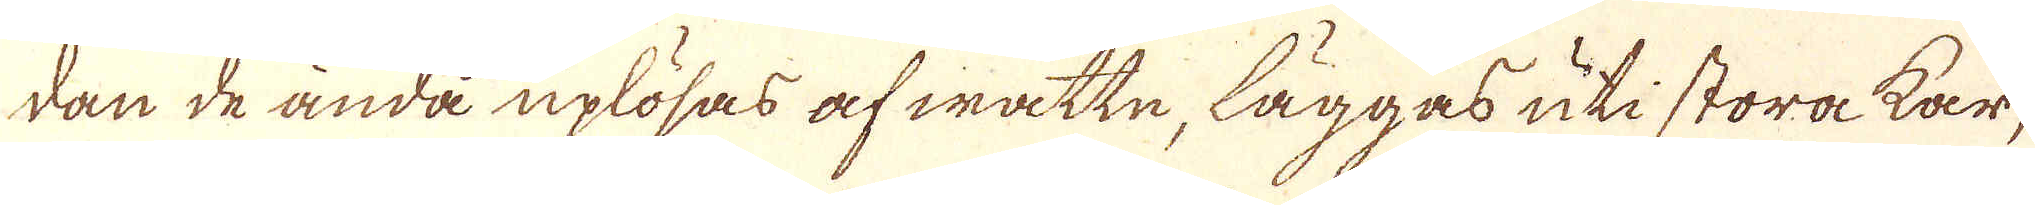tan de ändå uplösas af watte, läggas uti stora kar,
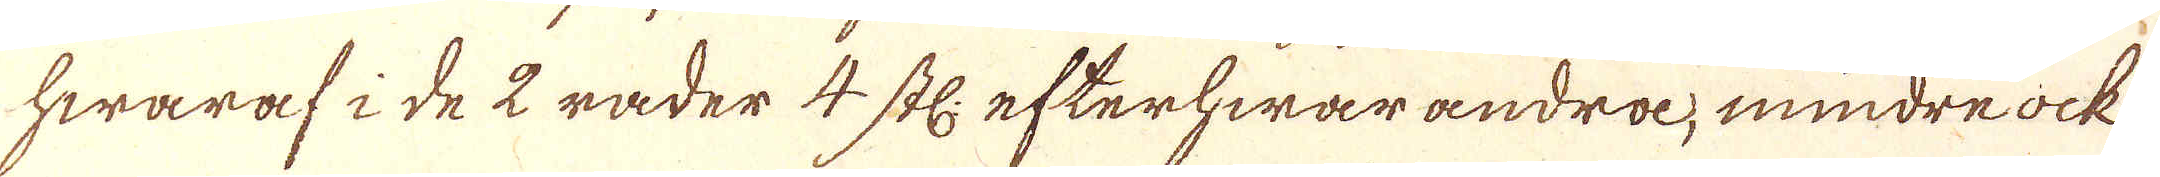hwaraf i de 2 rader 4 st: efterhwarandra, mindre ock
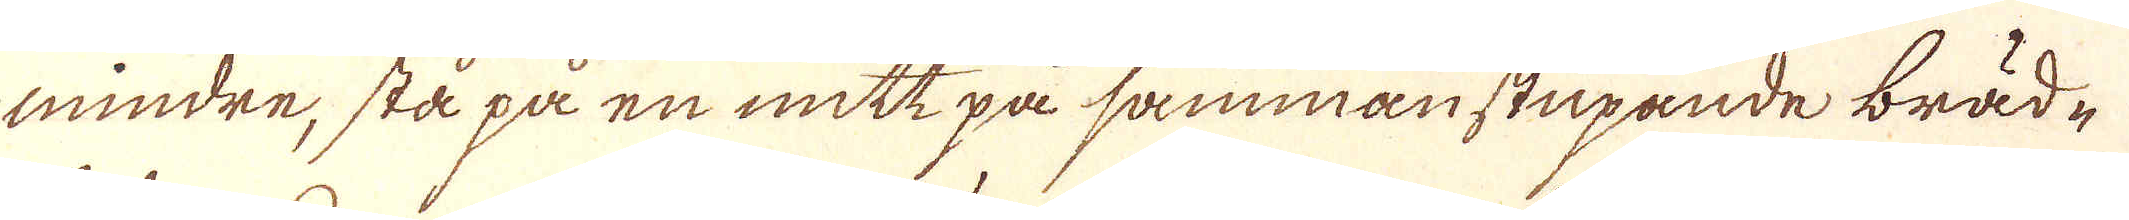mindre, stå på en mitt på sammanstupande bräd-
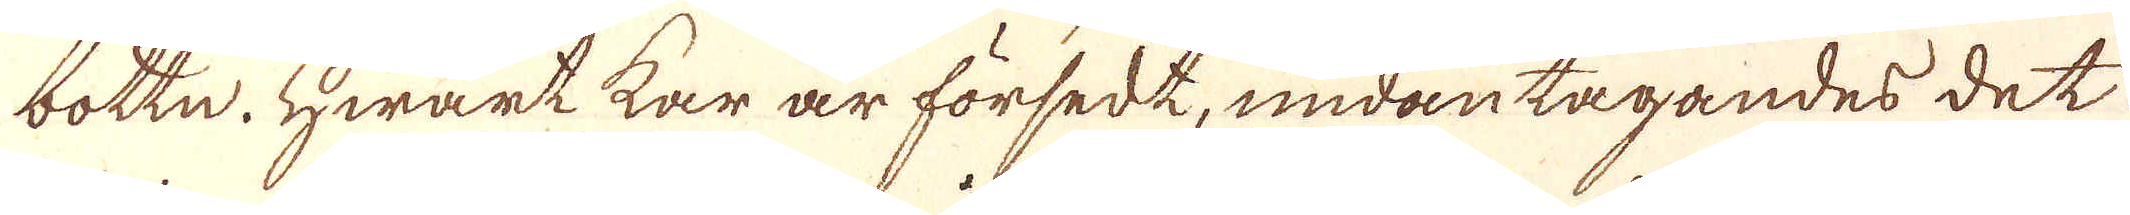bottn. Hwart kar är försedt, undantagandes det
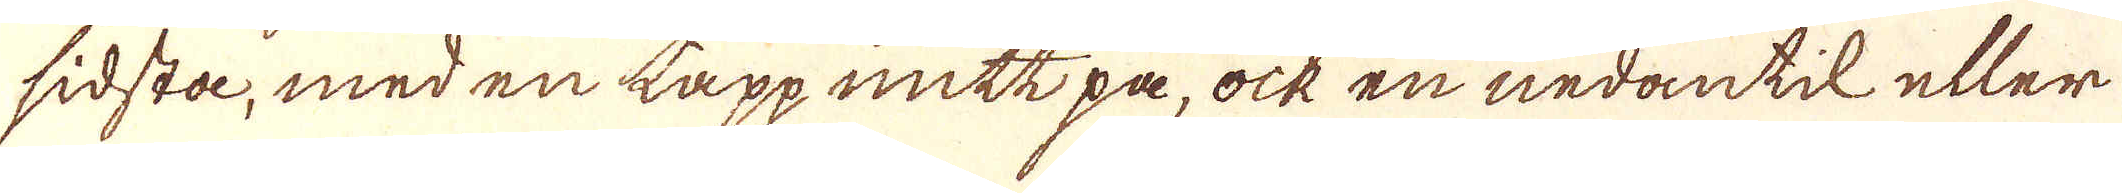sidsta, med en tapp mitt på, ock en nedantil eller
